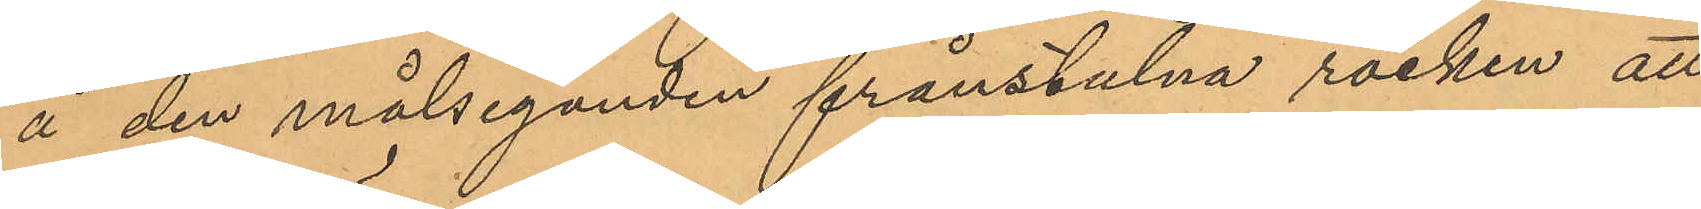å den målseganden frånstulna rocken att
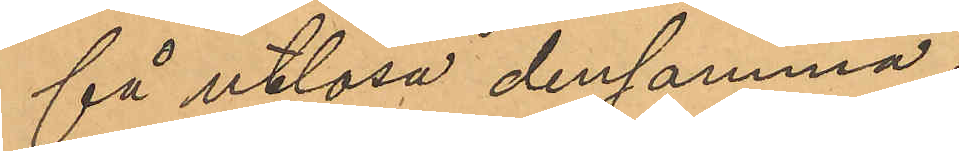få utlösa densamma.
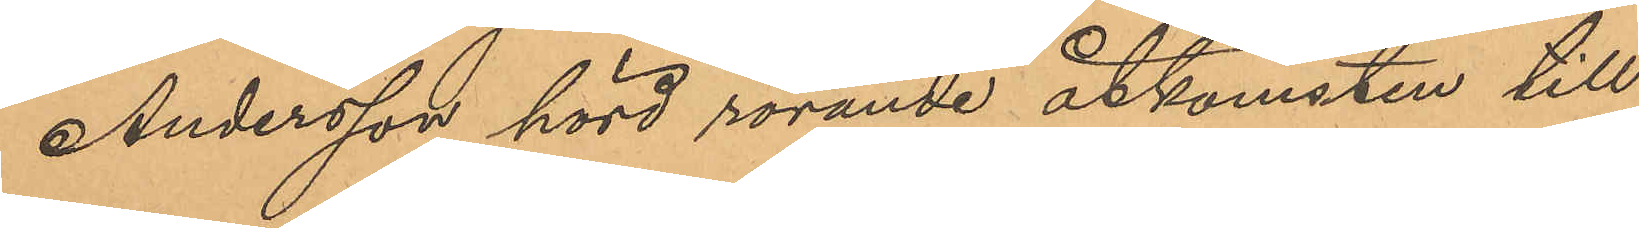Andersson hörd rörande åtkomsten till
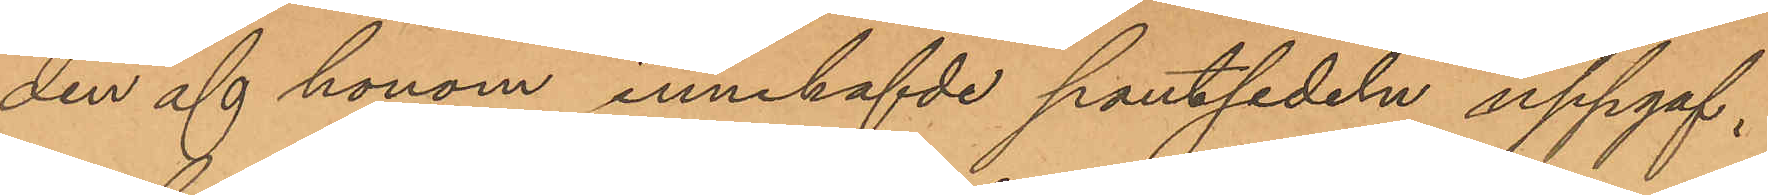den af honom innehafvde pantsedeln uppgaf,
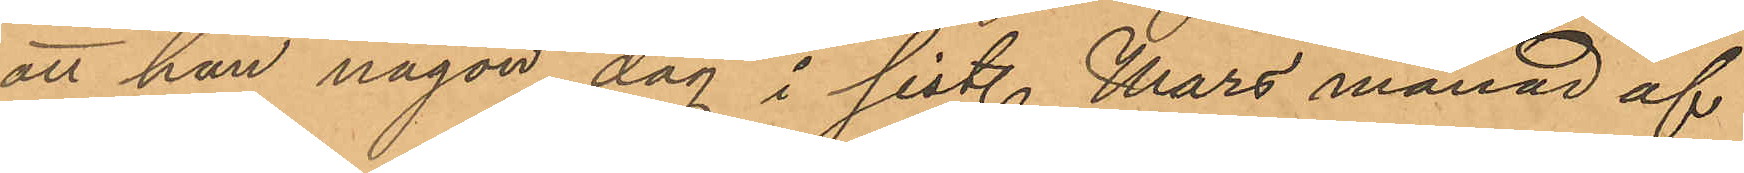att han någon dag i sist. Mars månad af
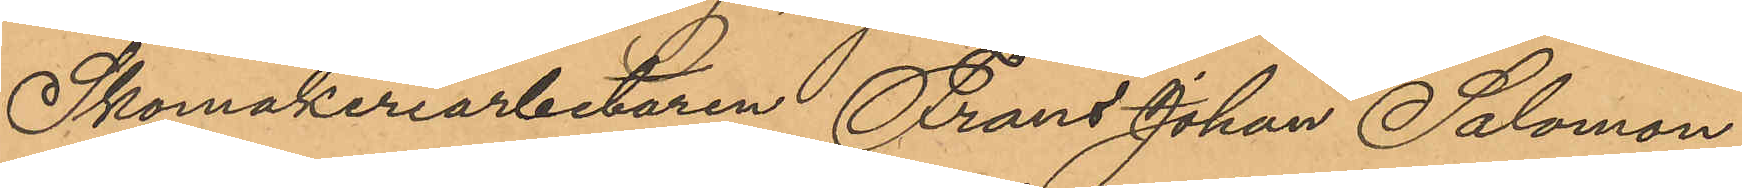Skomakeriarbetaren Frans Johan Salomon
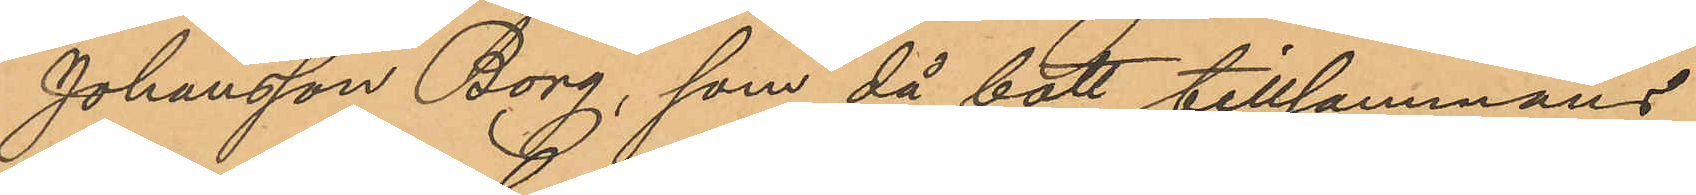Johansson Borg, som då bott tillsammans
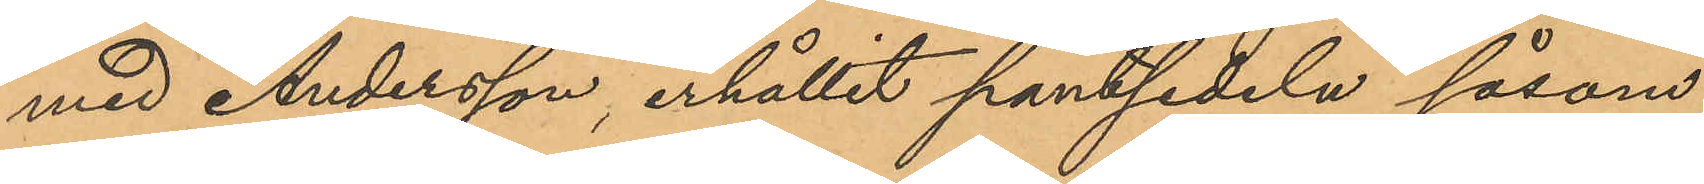med Andersson, erhållit pantsedeln såsom
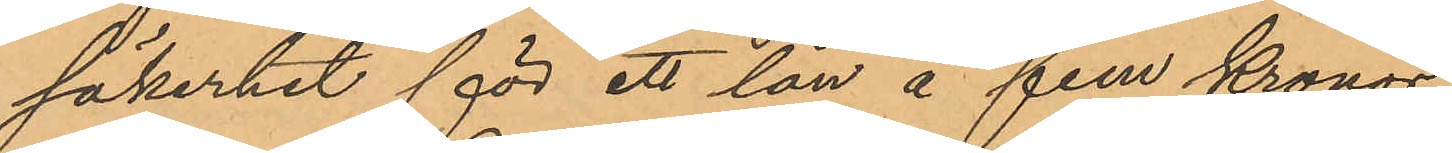säkerhet för ett lån å fem Kronor.
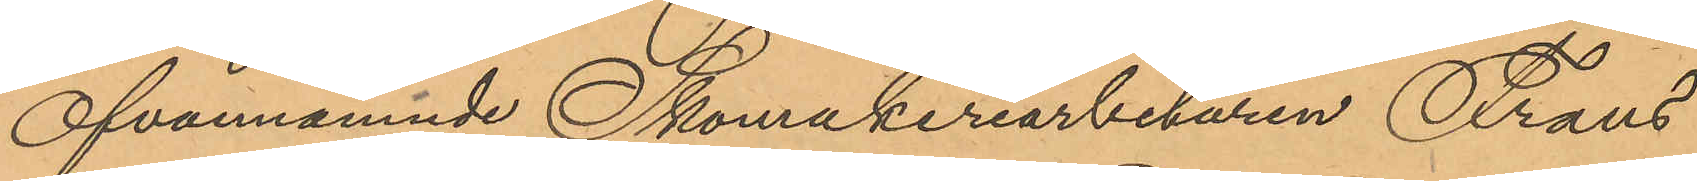Ofvannämnde Skomakeriarbetaren Frans
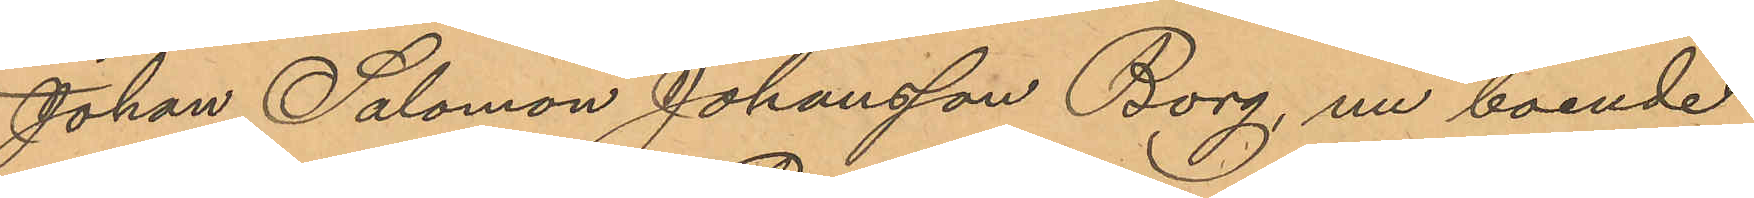Johan Salomon Johansson Borg, nu boende
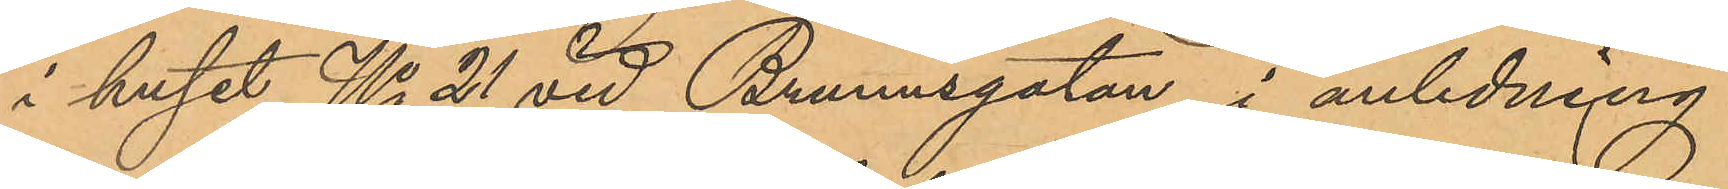i huset No 21 vid Brunnsgatan, i anledning
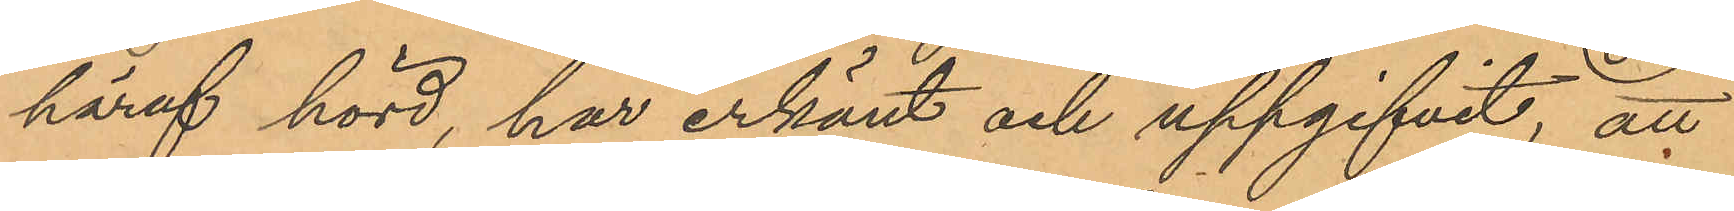häraf hörd, har erkänt och uppgifvit, att
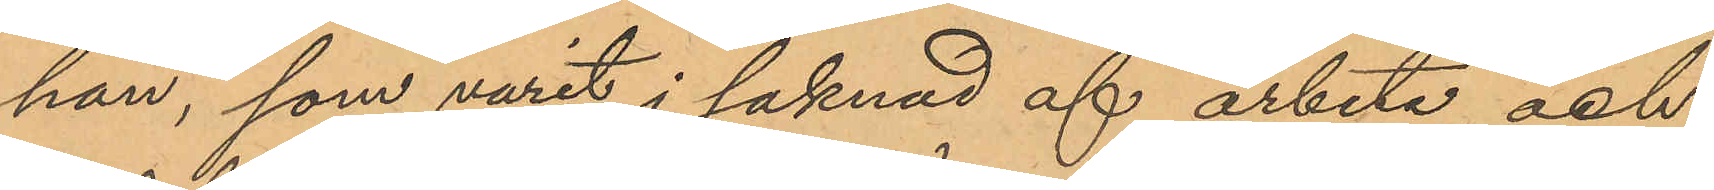han, som varit i saknad af arbete och
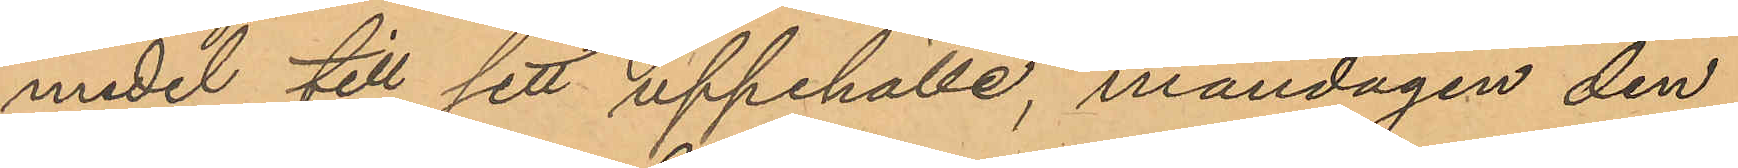medel till sitt uppehälle, måndagen den
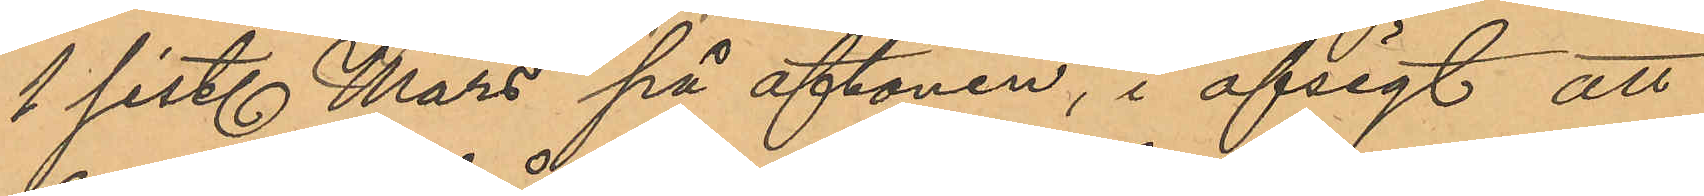1 sist. Mars på aftonen, i afsigt att
